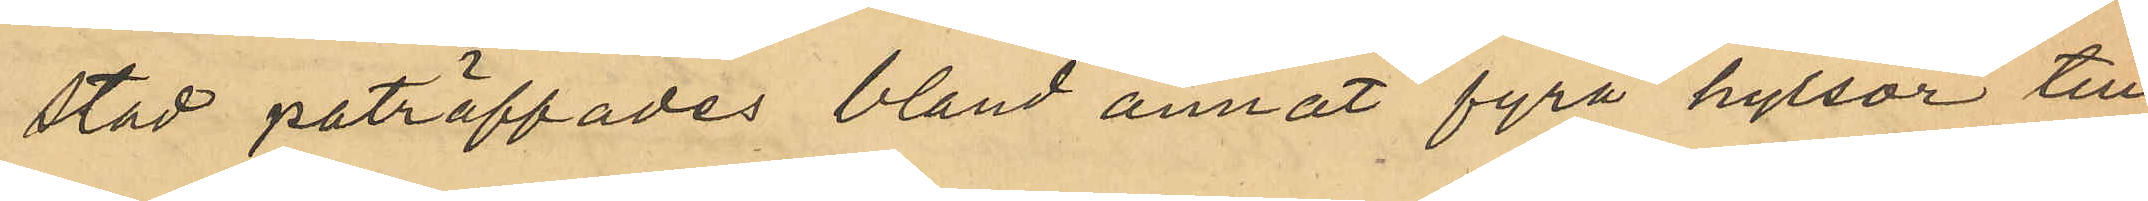stad paträffades bland annat fyra hylsor till
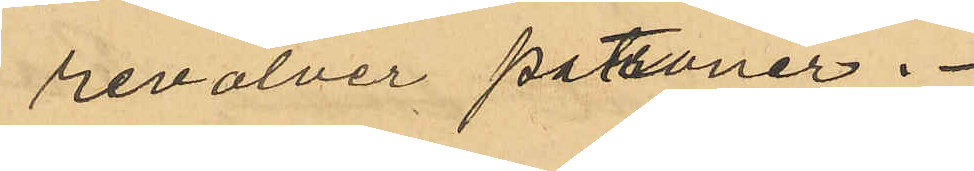revolver patroner.
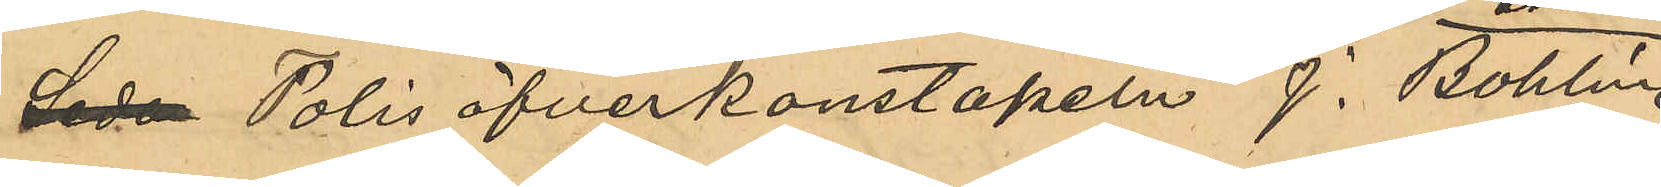Sedan Poliskonstaplarne J. Bohlin 
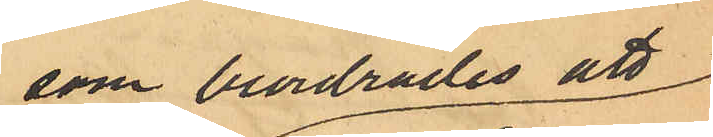som beordrades att
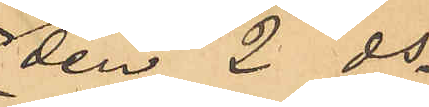den 2 ds
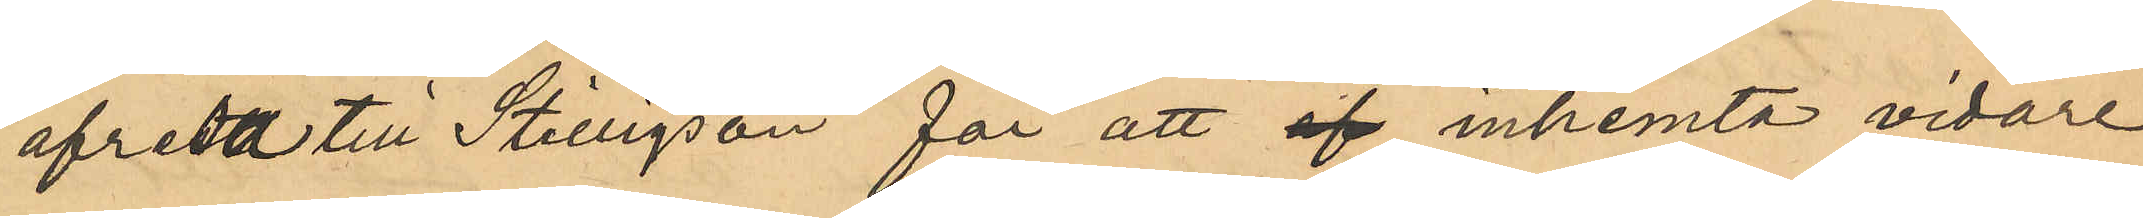afresa till Stilligsön för att af inhemta vidare
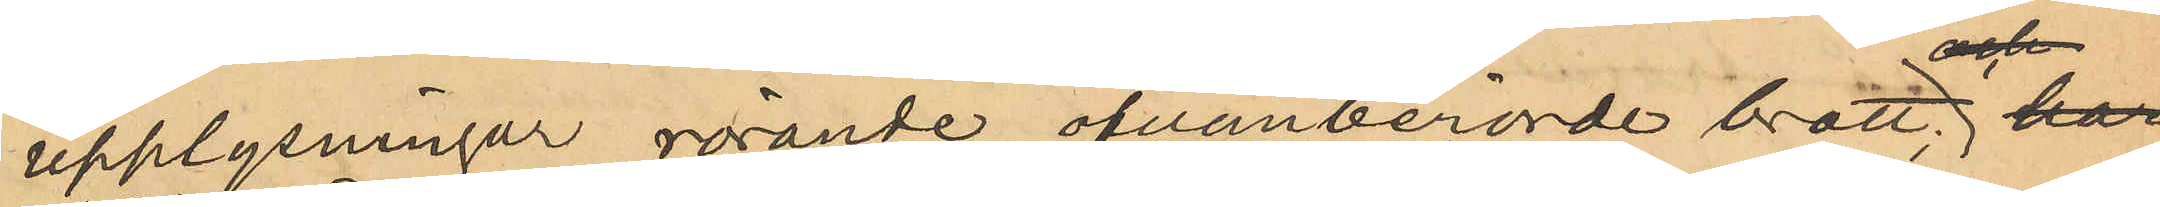upplysningar rörande ofvanberörde brott har
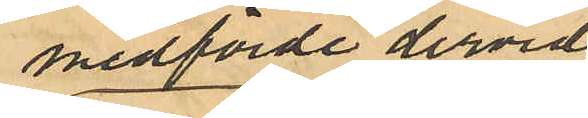medförde dervid
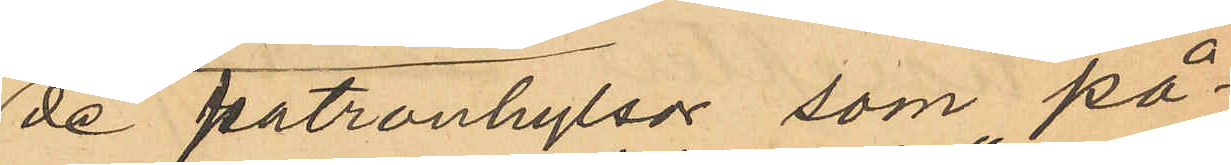de patronhylsor som på¬
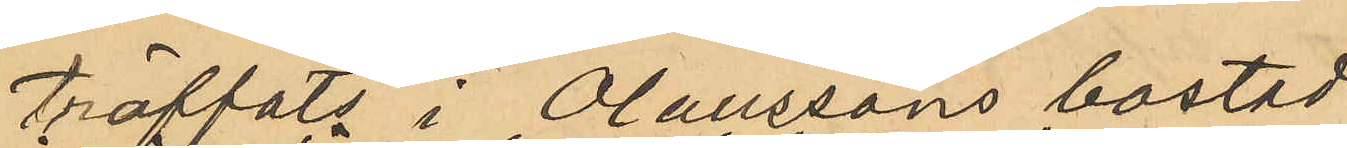träffats i Olaussons bostad
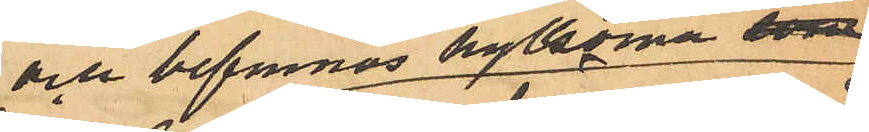och befunnos hylsorna som
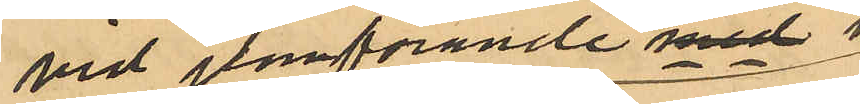vid jämförande med 
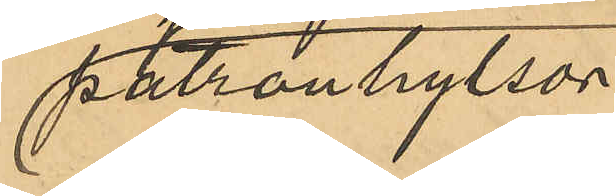patronhylsor
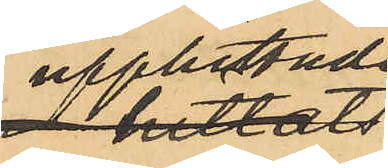upphittade 
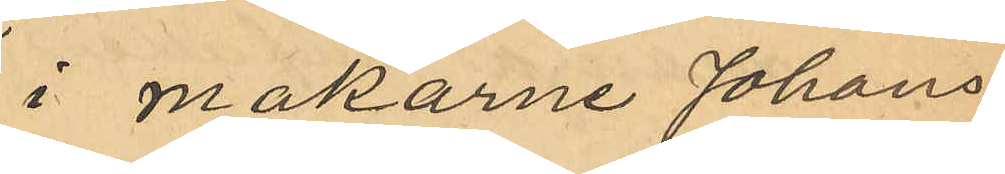i makarna Johans¬
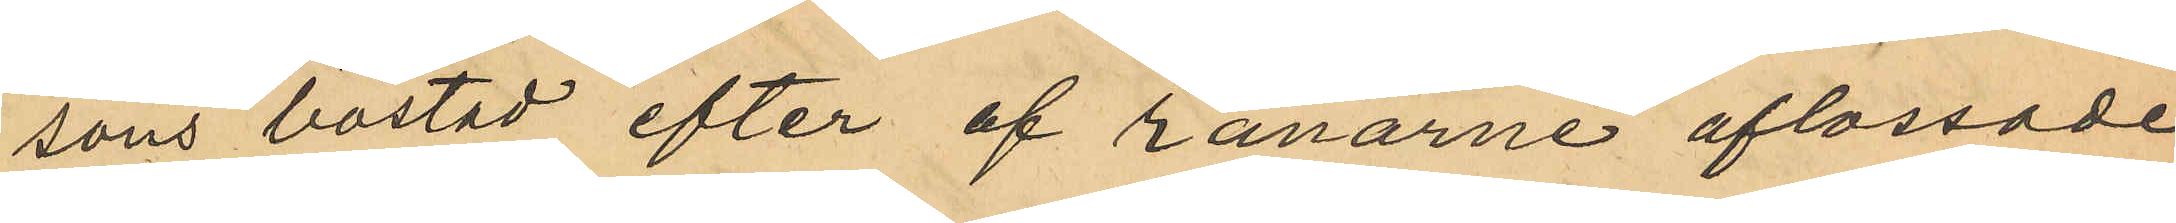sons bostad efter af rånarne aflossade
